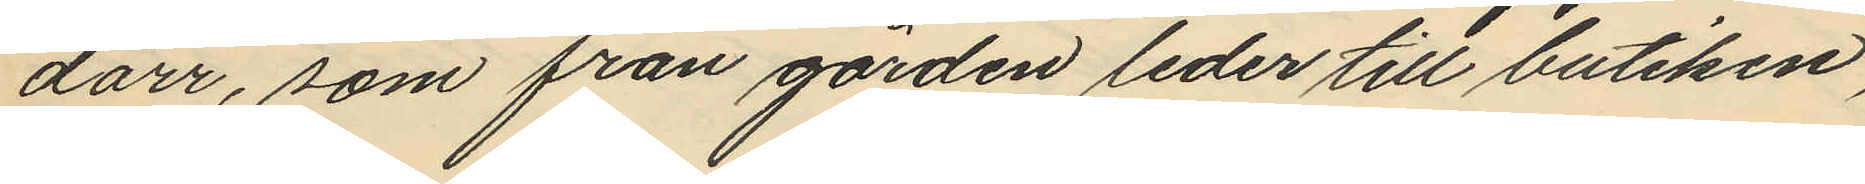dörr, som från gården leder till butiken,
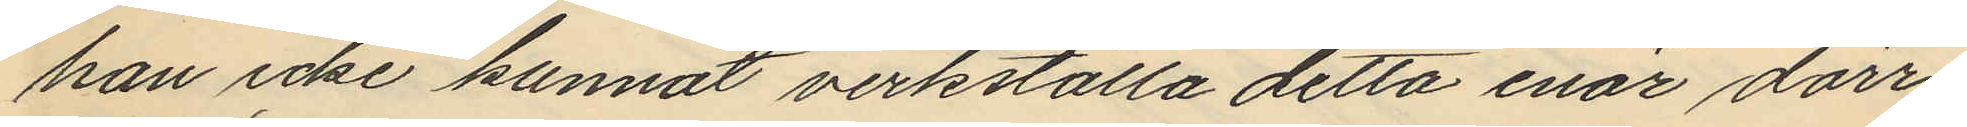han icke kunnat verkställa detta enär dörr¬
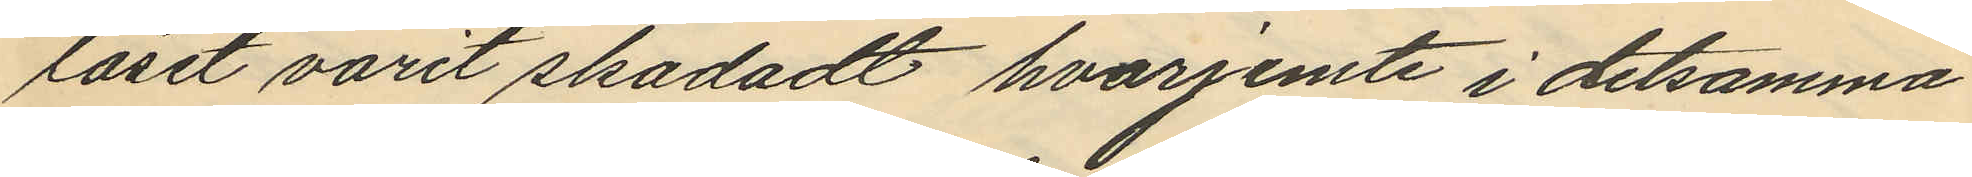låset varit skadadt hvarjemte i detsamma
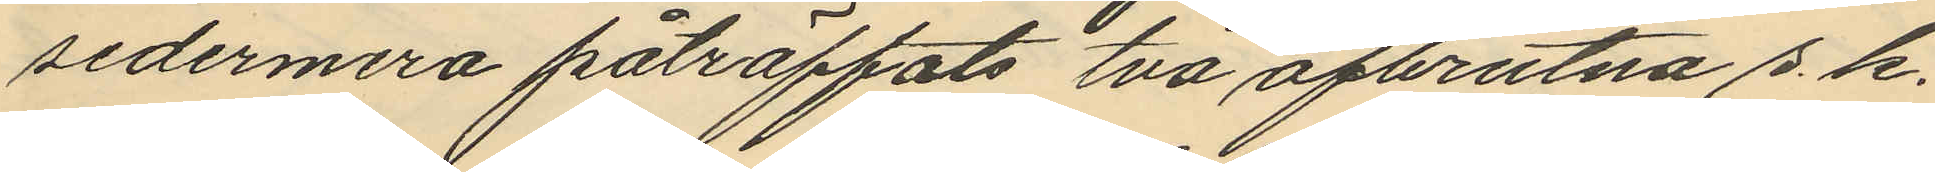sedermera påträffats två afbrutna s.k.
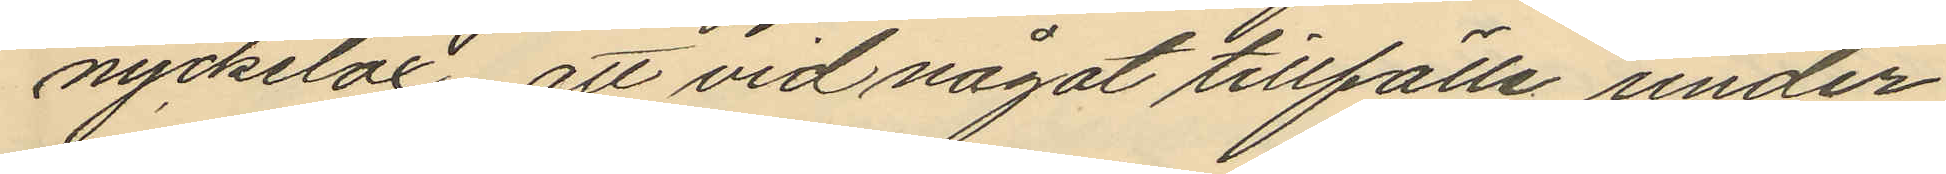nyckelax att vid något tillfälle under
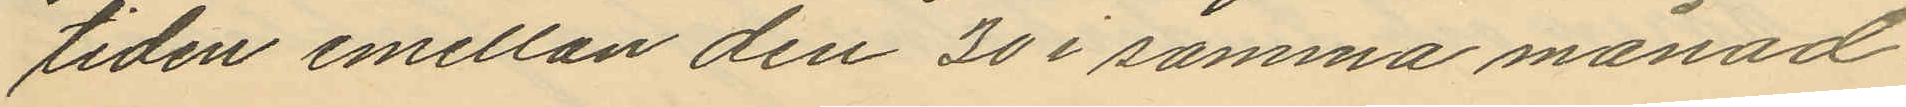tiden emellan den 30 i samma månad
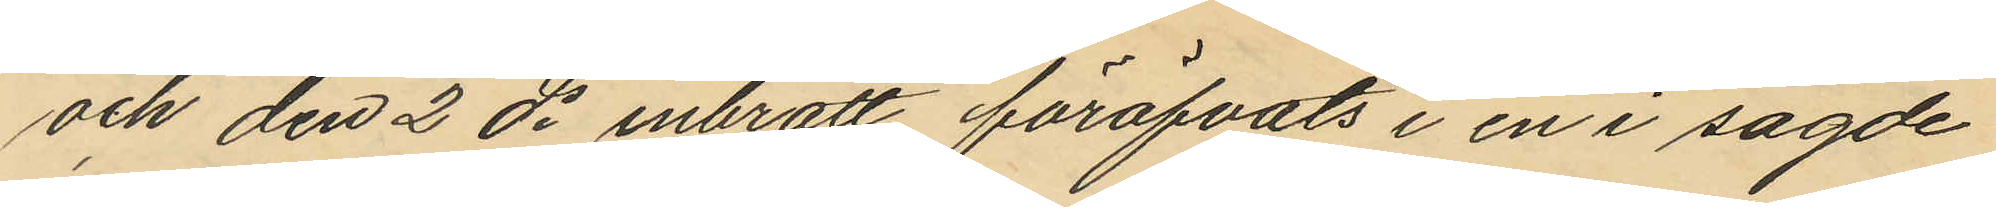och den 2 ds inbrott föröfvats i en i sagde
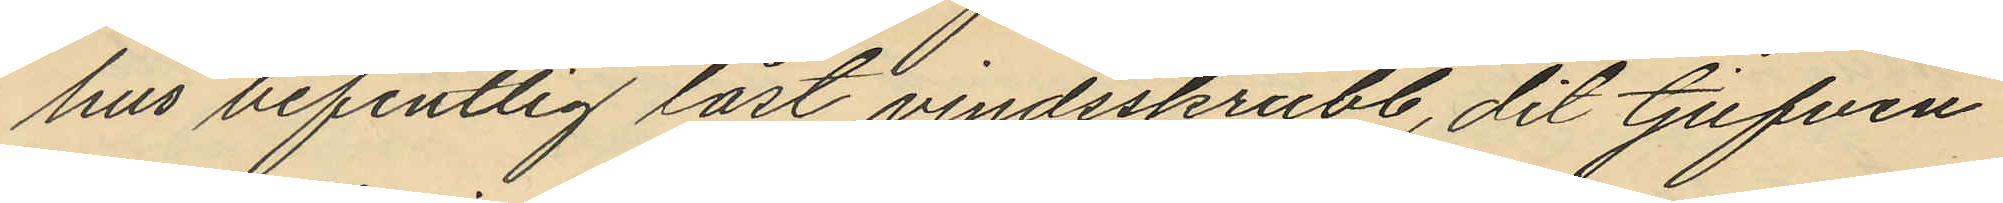hus befintlig låst vindsskrubb, dit tjufven
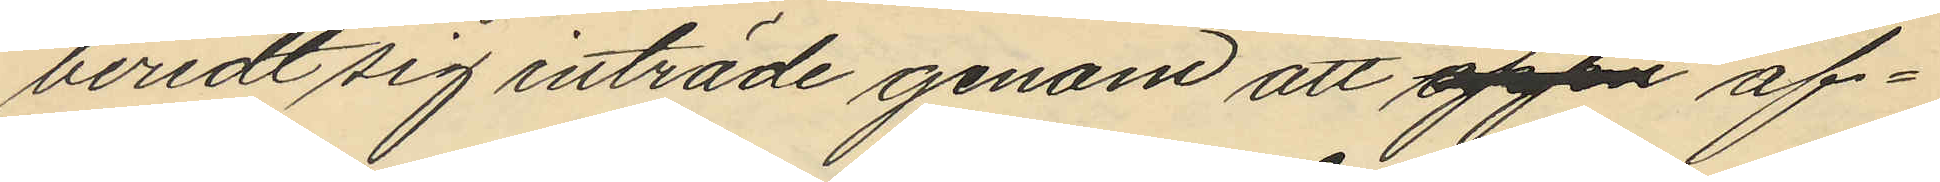beredt sig inträde genom att öppna af¬
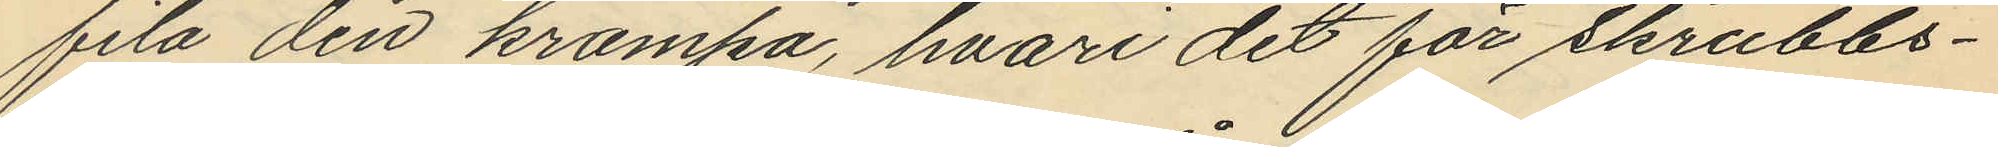fila den krampa, hvari det för skrubbs¬
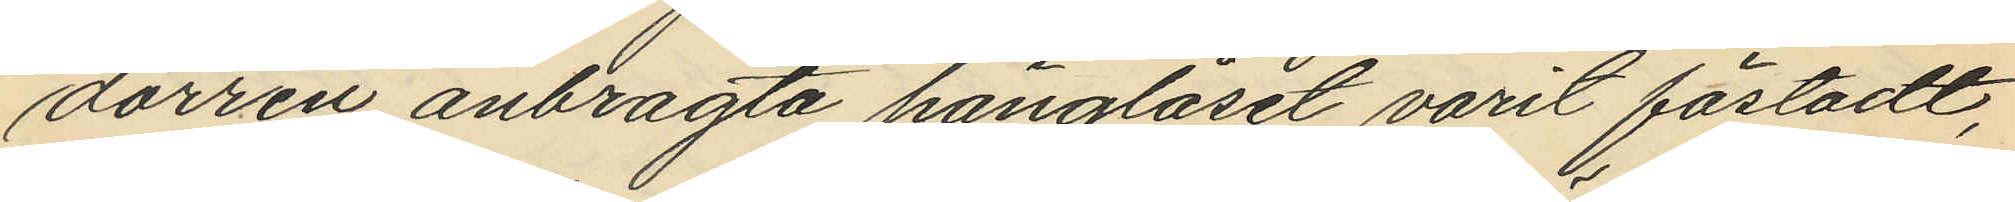dörren anbragta hänglåset varit fästadt,
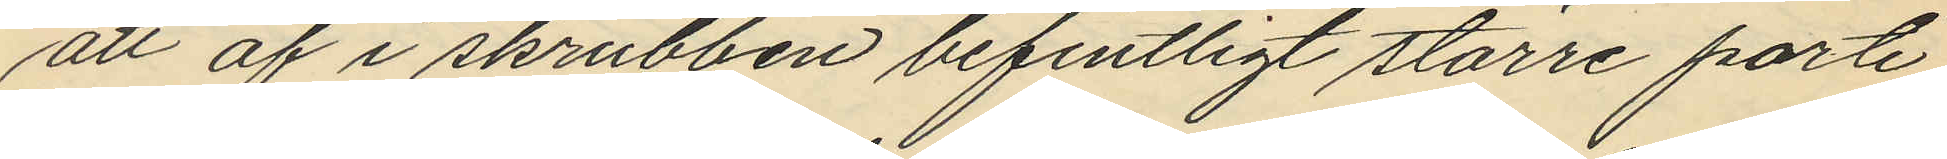att af i skrubben befintligt större parti
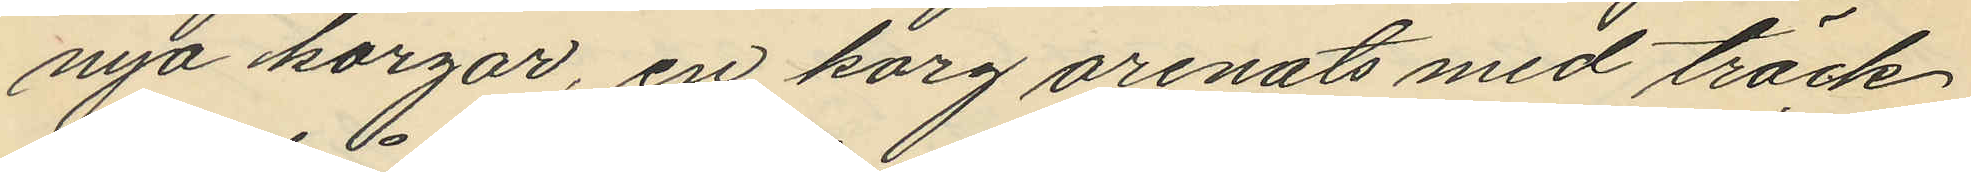nya korgar, en korg orenats med träck
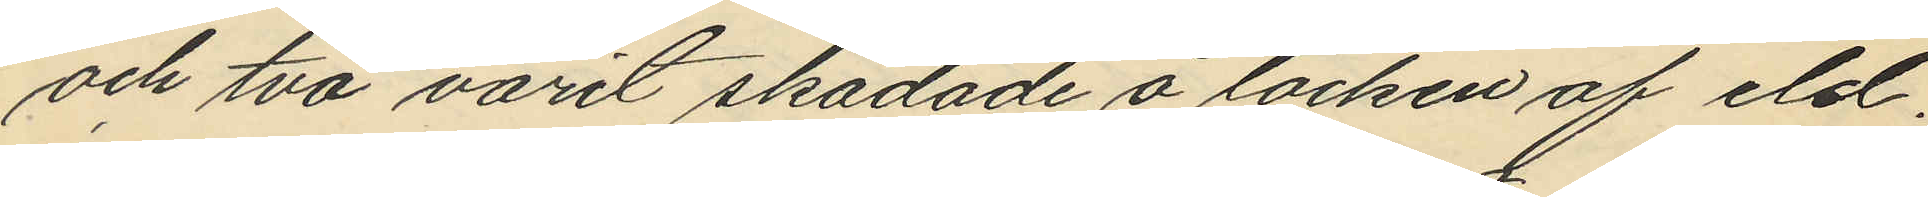och två varit skadade å locken af eld;
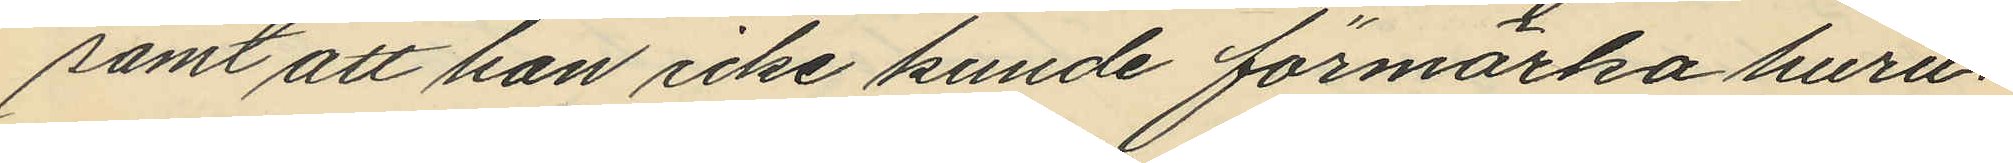samt att han icke kunde förmärka huru¬
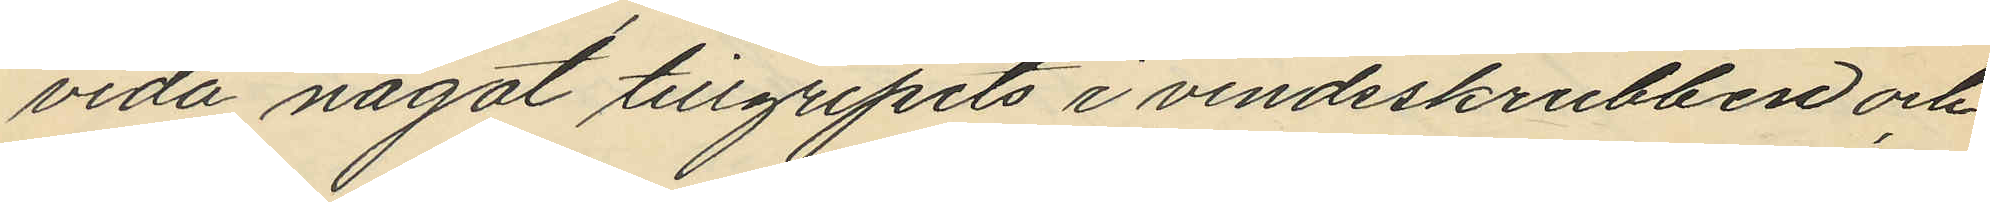vida något tillgripits i vindsskrubben och
